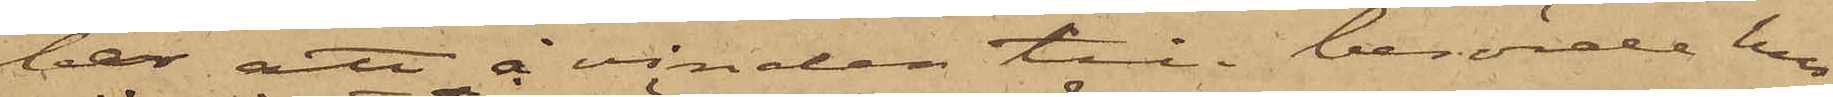ber, att å vinden till berörde hus
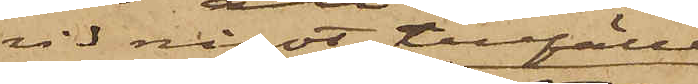vid något tillfälle
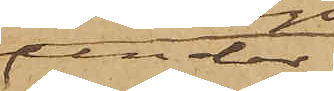under
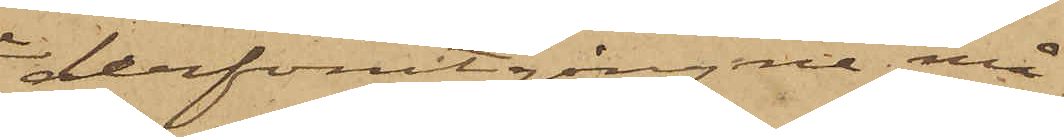derförutgångne må¬
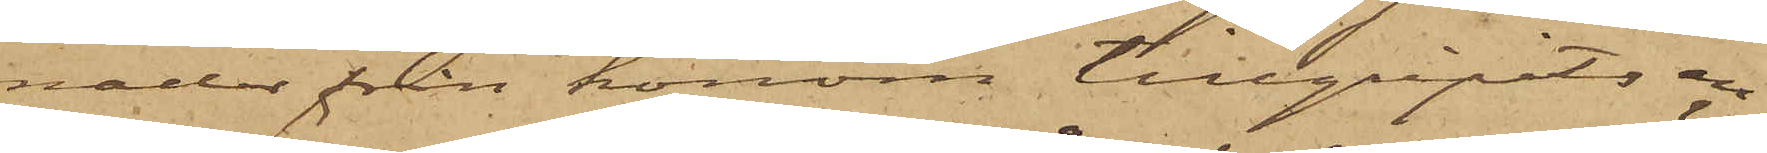nader från honom tillgripits en
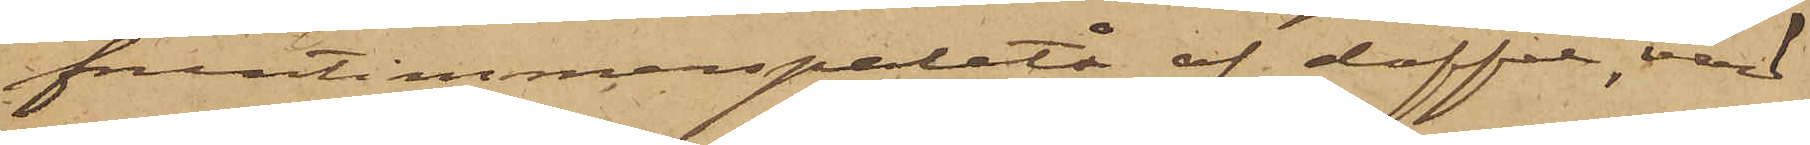fruntimmerspaletå af doffel, värd
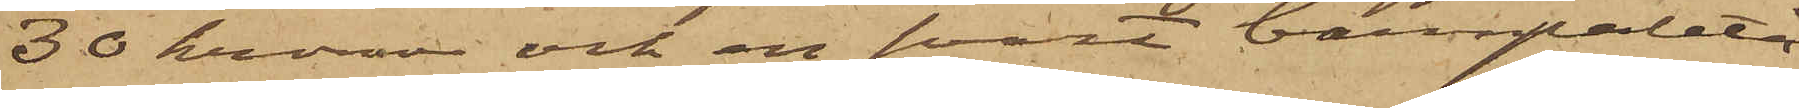30 kronor och en svart barnpaletå
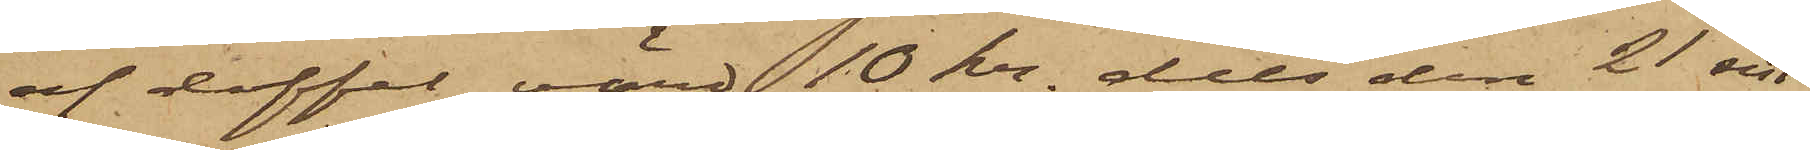af doffel, värd 10 kr. dels den 21 sist
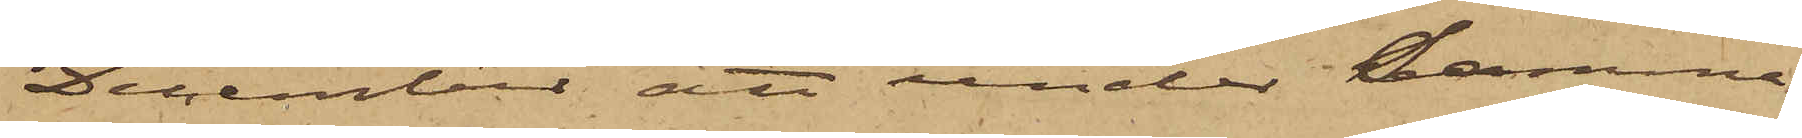December att under samma
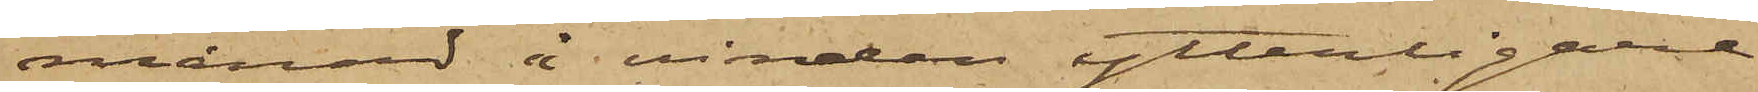månad å vinden ytterligare
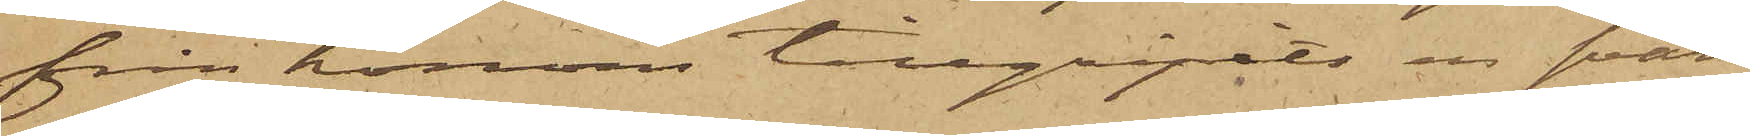från honom tillgripits en svart
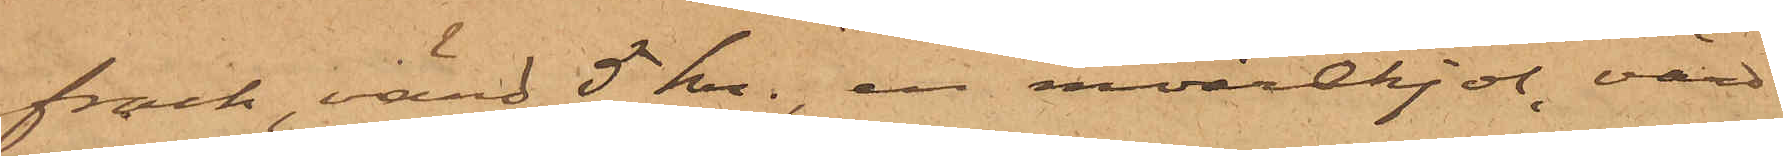frack, värd 5 kr., en moirekjol, värd
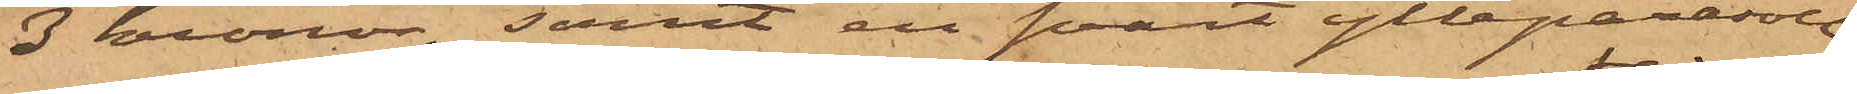3 kronor, samt en svart ylleparasoll,
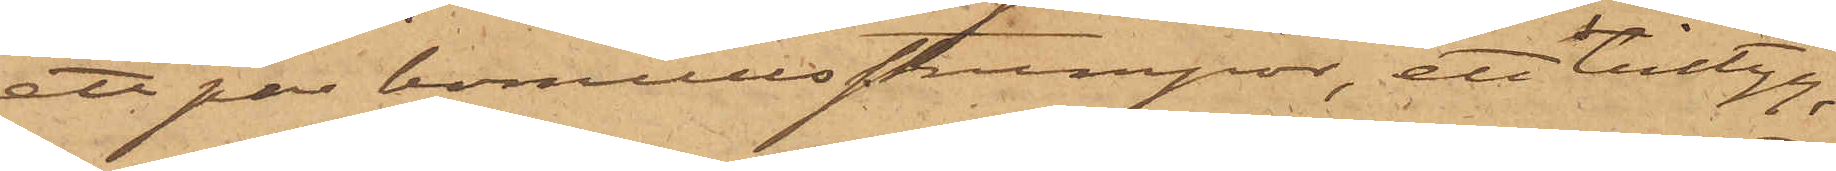ett par bomullsstrumpor, ett lintyg,
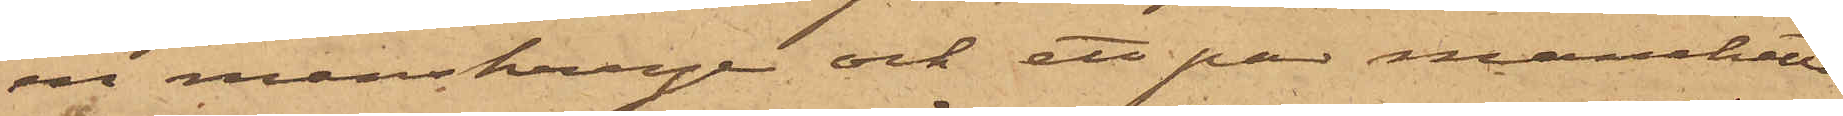en manskrage och ett par manchetter
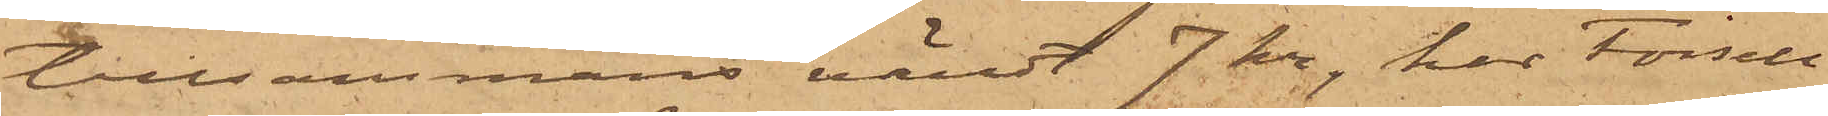tillsammans värdt 7 kr, har Forsell
